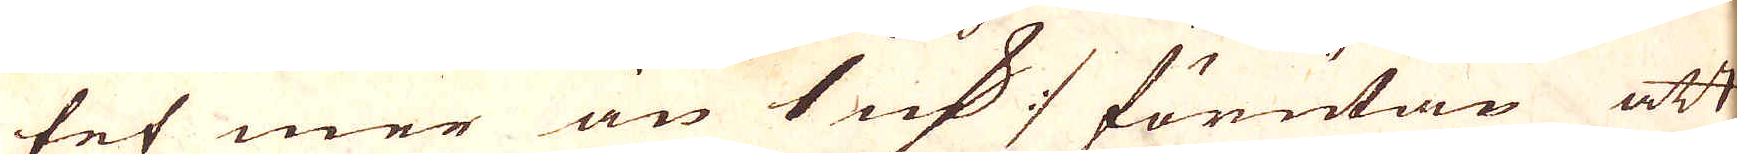tet mer än 1 qv:n :/ förutan att
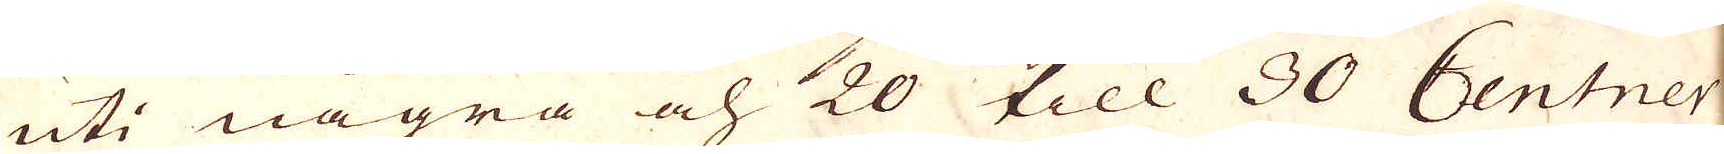uti några och 20 till 30 Centner
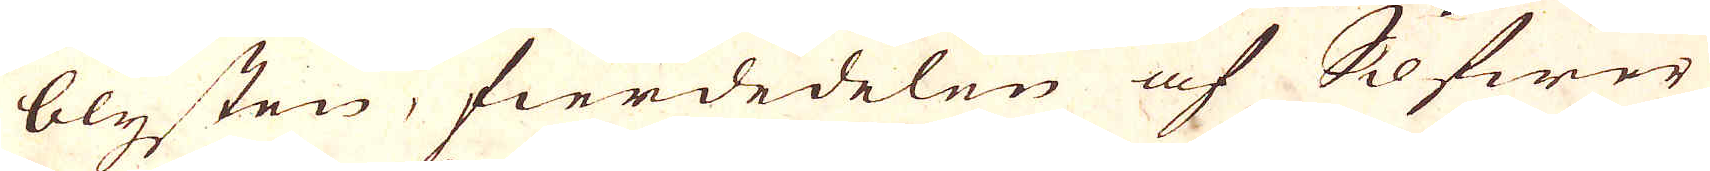blysten, fierdedelen af Silfwer
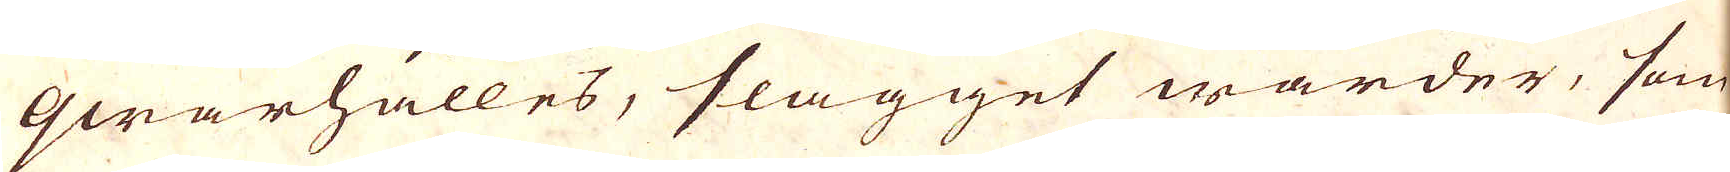qwarhålles, slagget warder, som
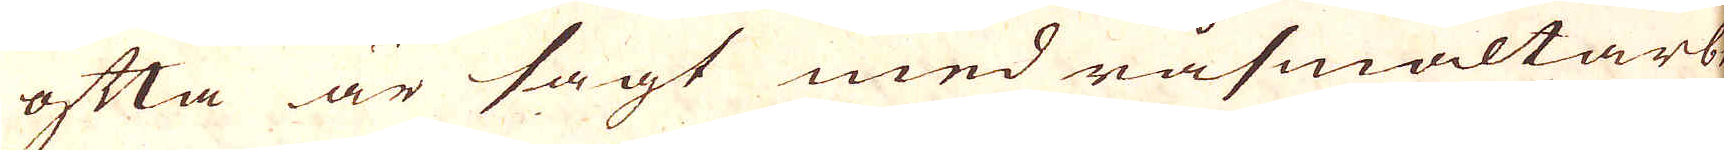ofta är sagt med råsmältarbe- 
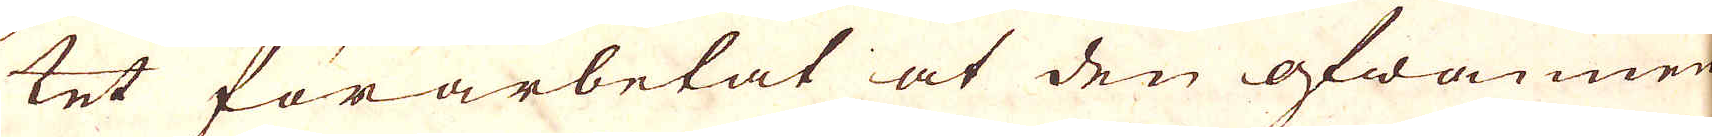tet förarbetat at den ofwannem-
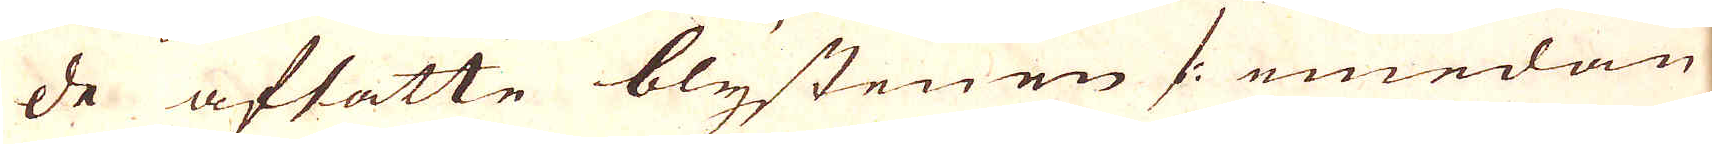de afsatte blystenen /: emedan
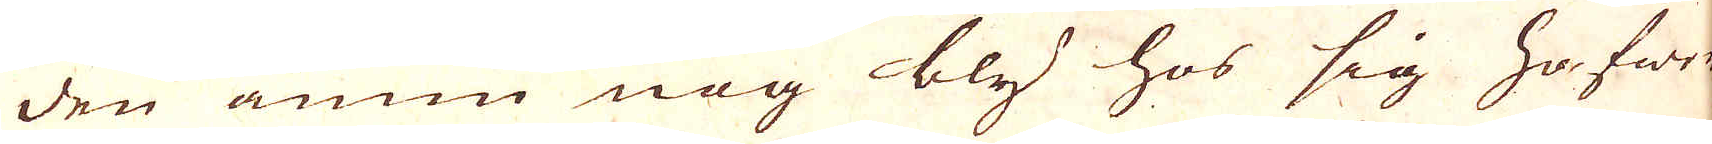den ännu nog bly hos sig hafwer
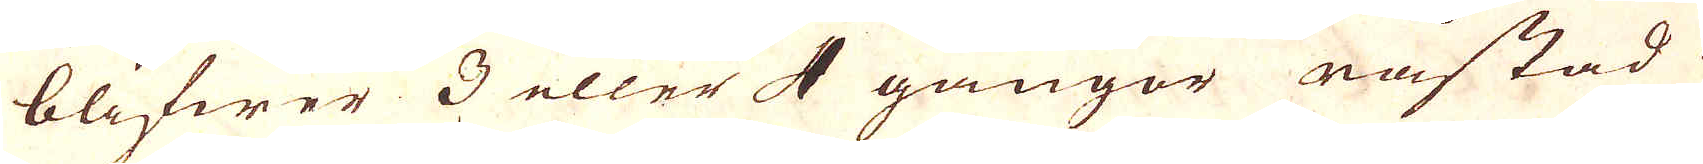blifwer 3 eller 4 gångor råstad
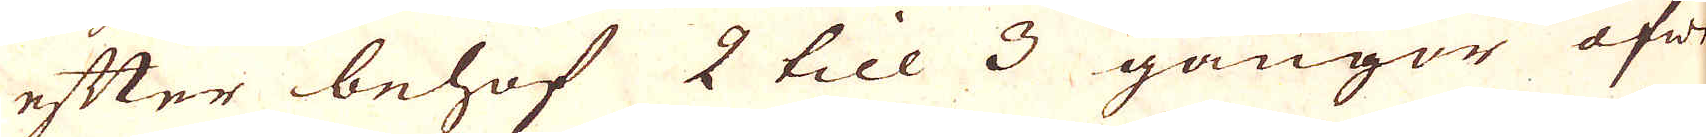efter behof 2 till 3 gångor öfw:r 
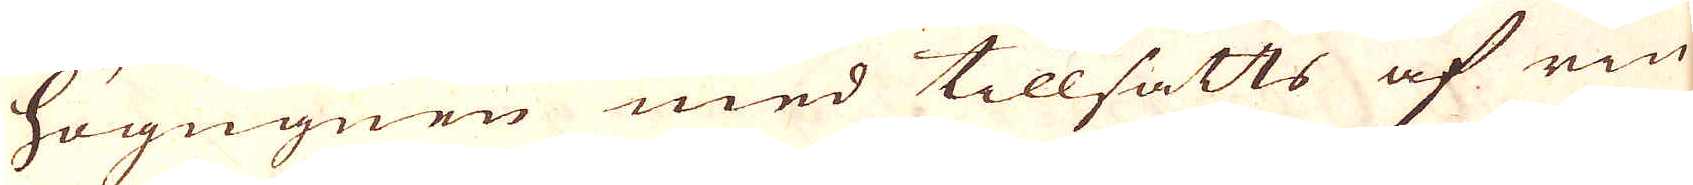högugnen med tillsatts af rin-
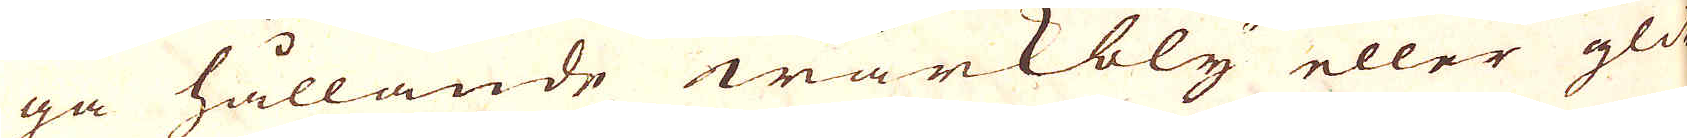ga hållande wärkbly eller glit-
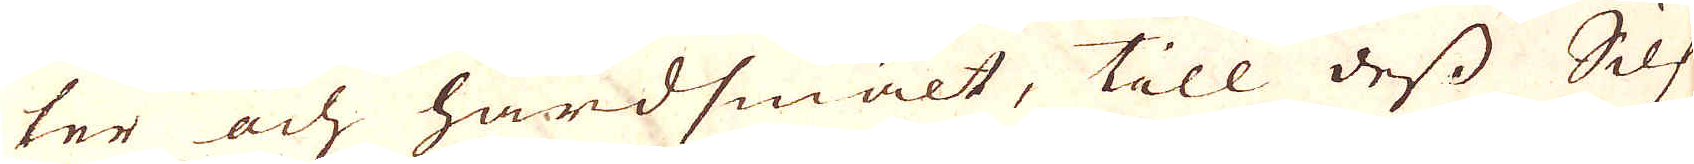ter och hårdsmält, till dess Silf-
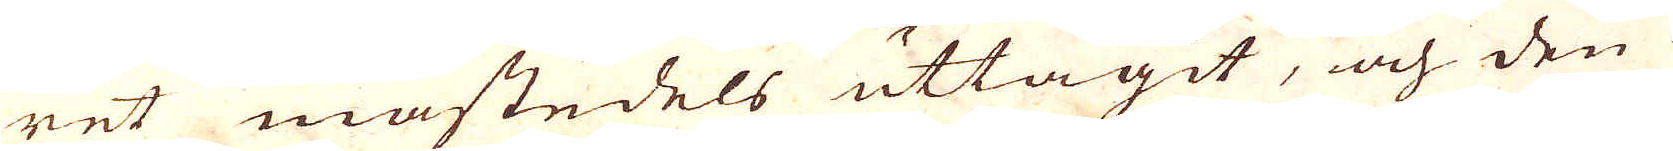ret mästedels uttagit, och den å-
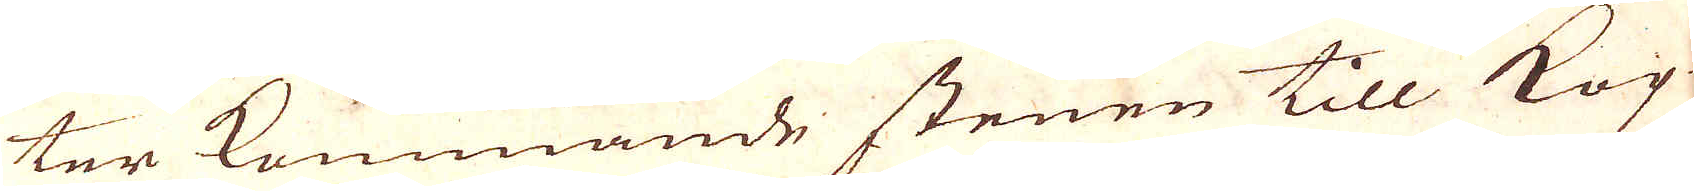ter kommande stenen till Kop-
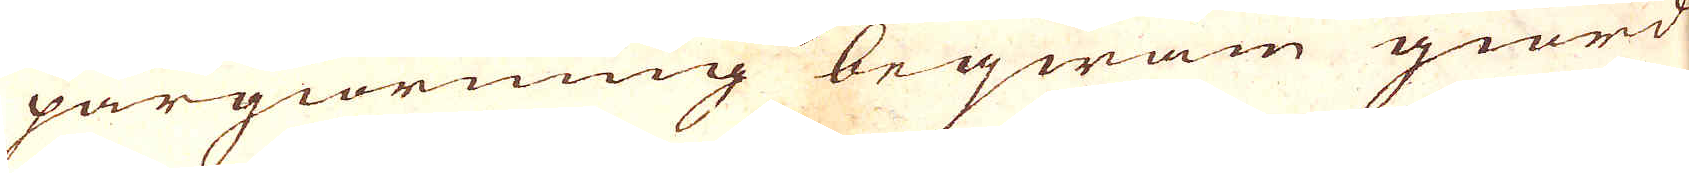pargiörning beqwäm giord
